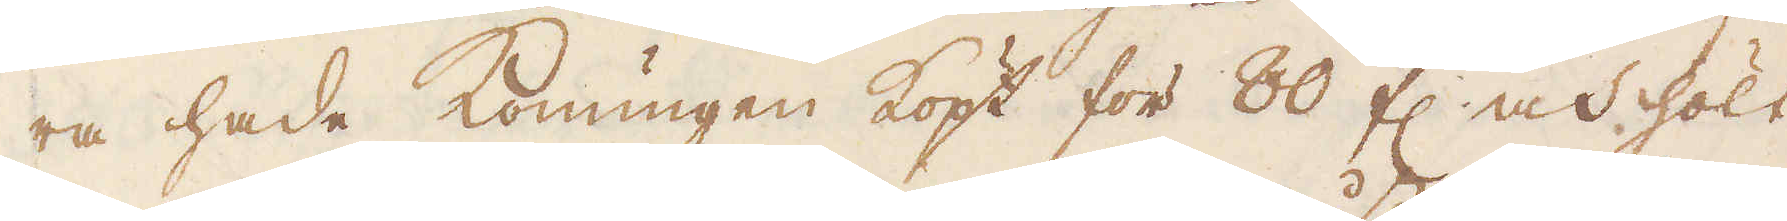ra hade konungen köpt för 80 fl och hölt
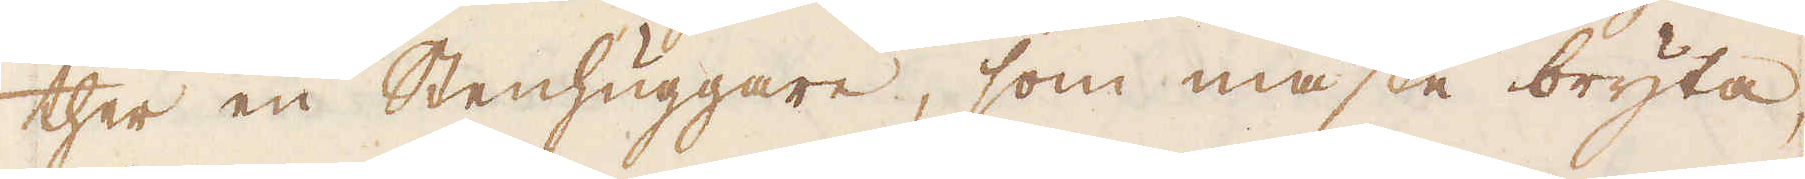ther en Stenhuggare, som måste bryta,
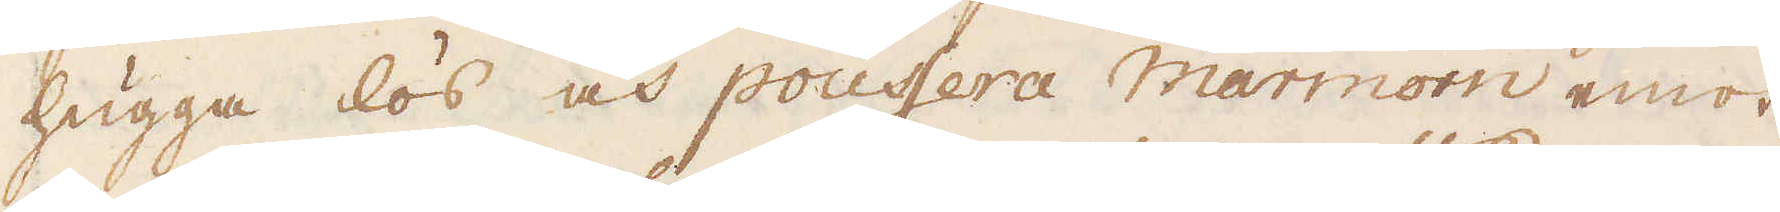hugga lös och poussera Marmorn emot
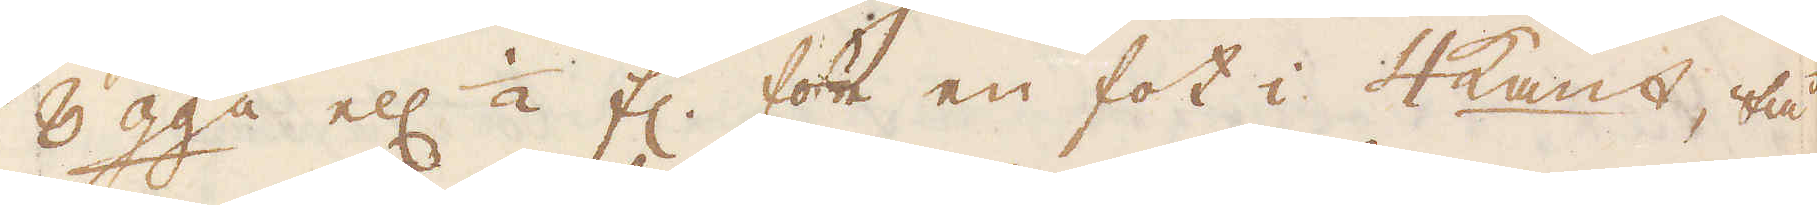6 gga ell: 1/2 fl. för en fot i 4kant, tå
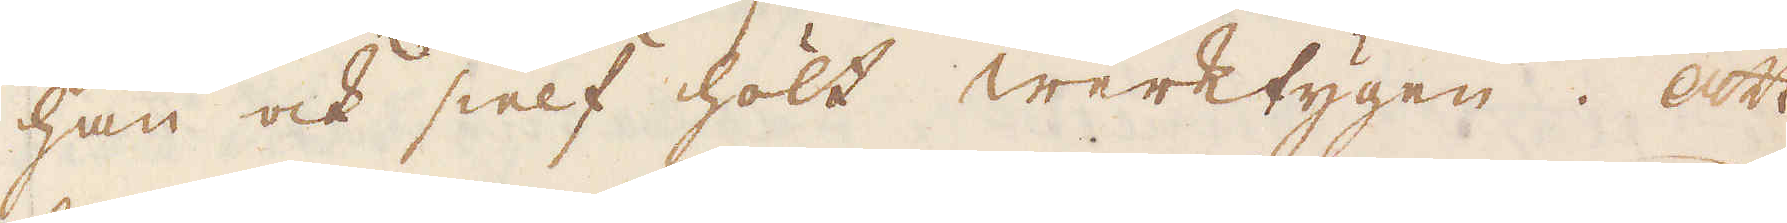han ock sielf hölt werktygen. Att
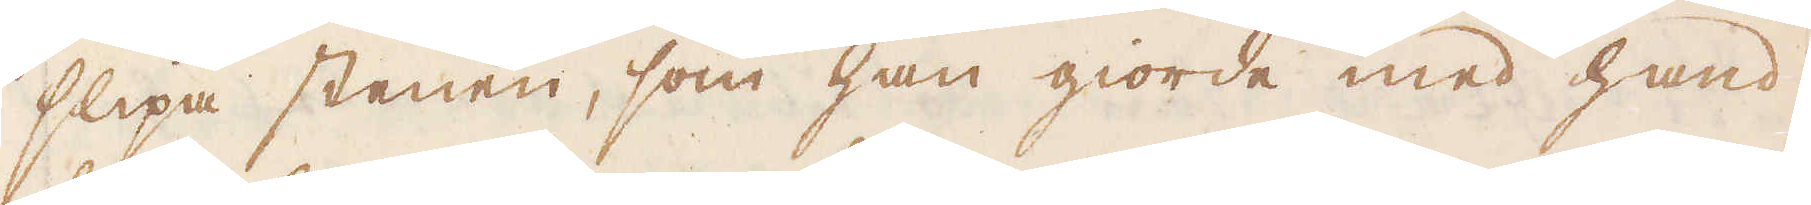slipa stenen, som han giorde med hand,
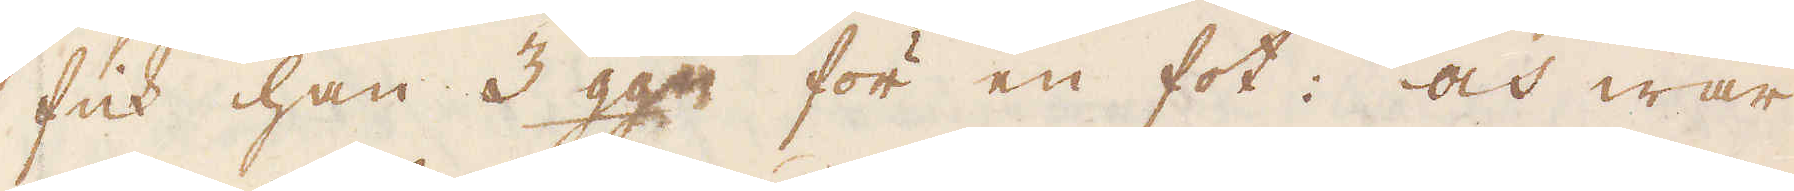fick han 3 gga för en fot: och war
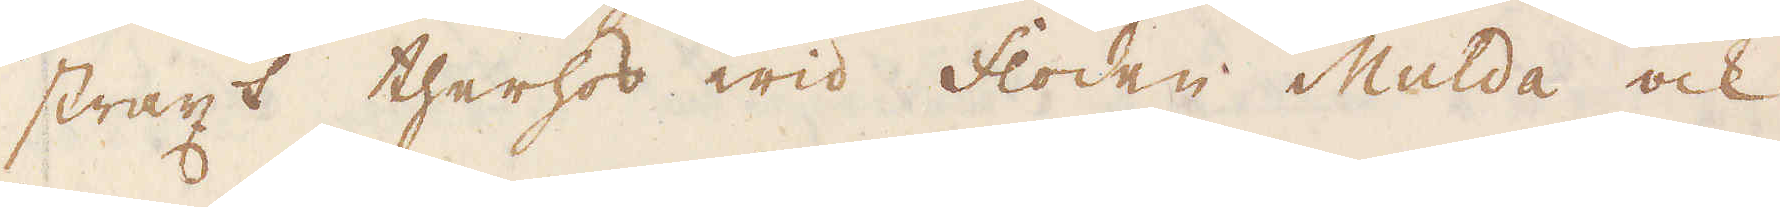straxt therhos wid floden Mulda ock
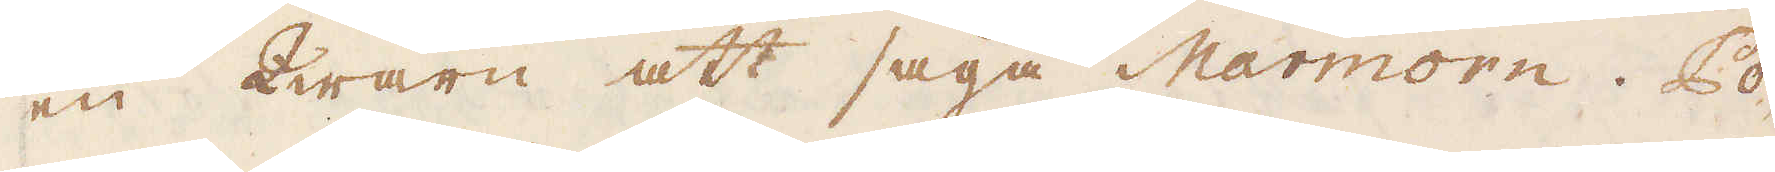en Qwarn att såga Marmorn. Po-
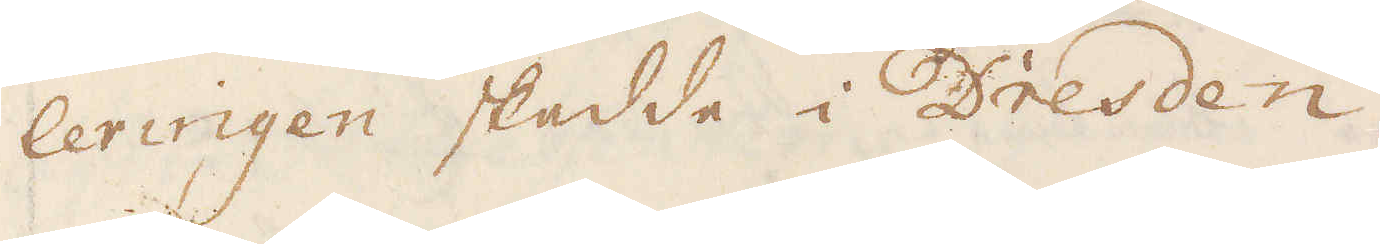leringen skadde i Dresden.
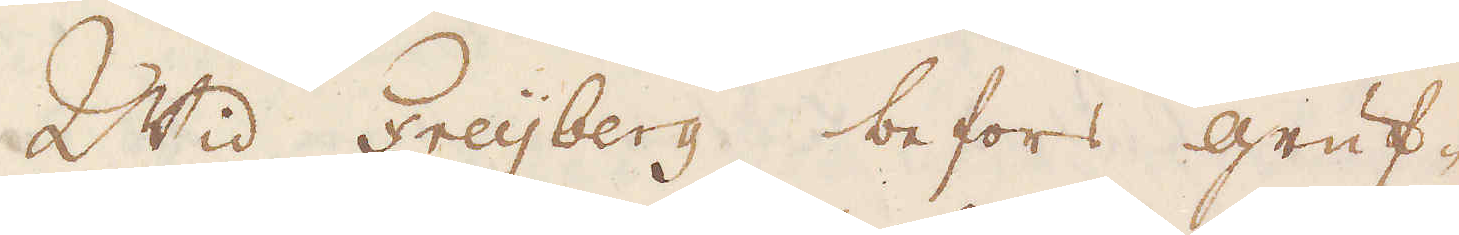Wid Freijberg befors gruf-
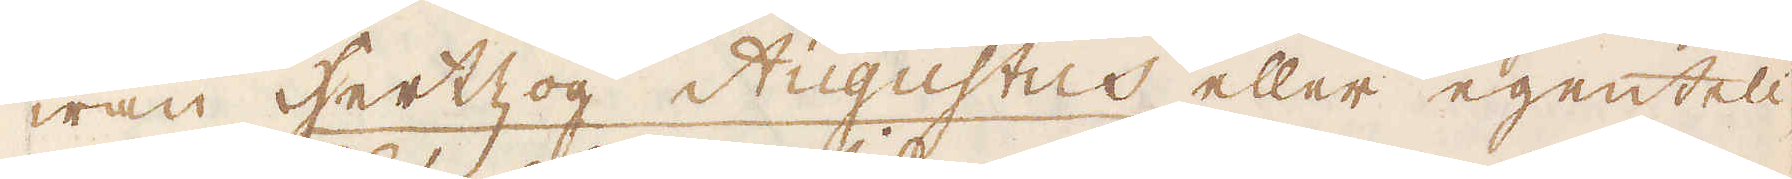wan Hertzog Augustus eller egenteli-
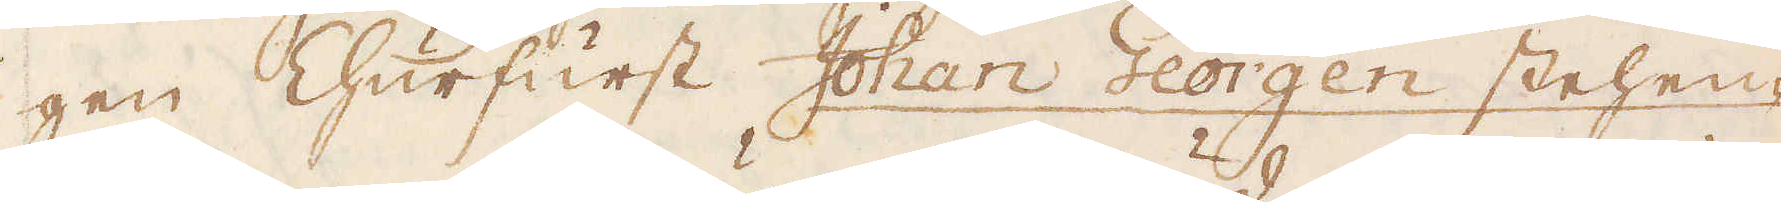gen Churfurst Johan Georgen stehen-
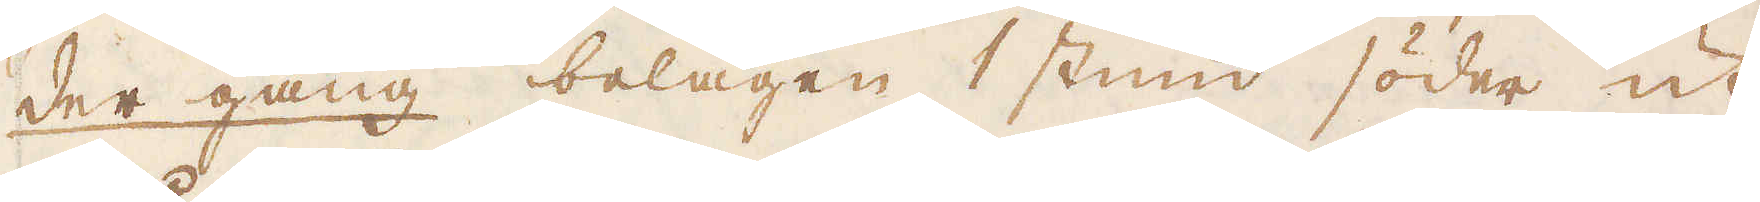der gang belägen 1 stund söder ut
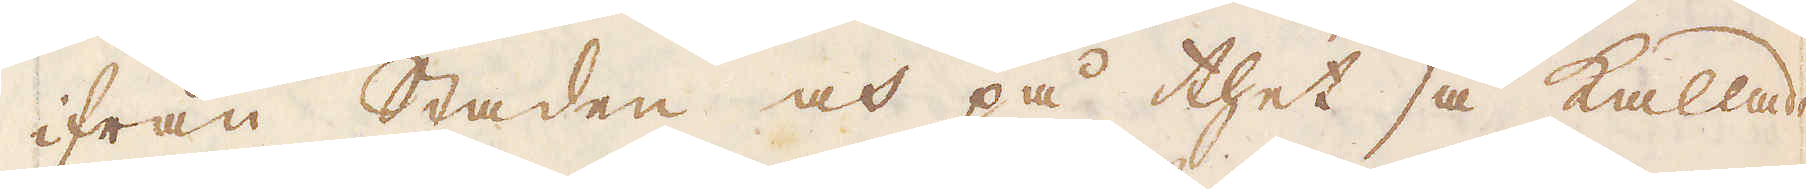ifrån staden och på thet så kallade
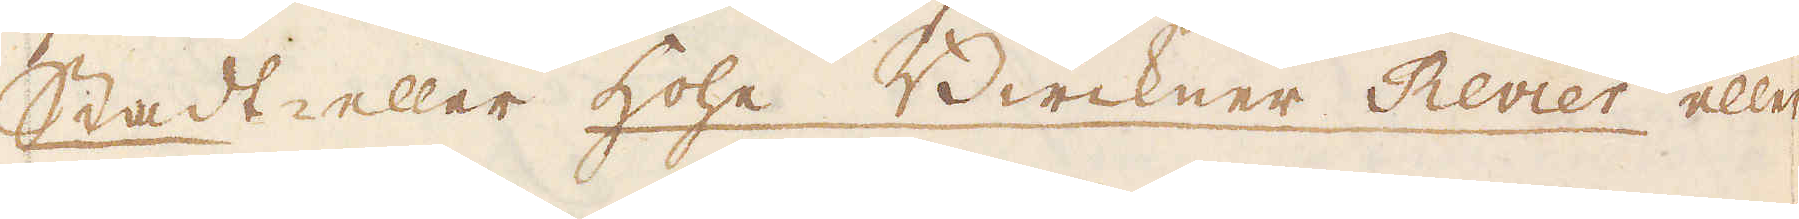Stadt- eller hohe Birckner Revier eller
